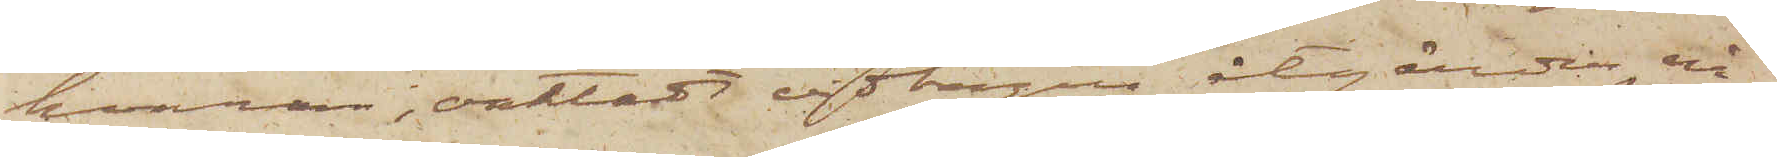hvarom, oaktadt vidtagna åtgärder, nå¬
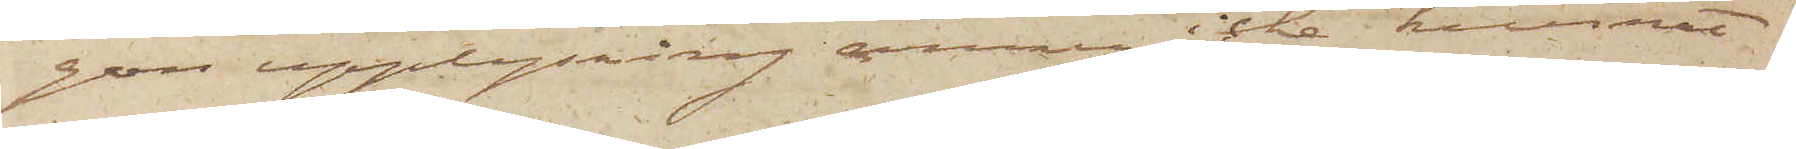gon upplysning ännu icke kunnat
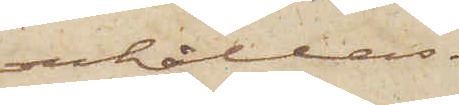erhållas.
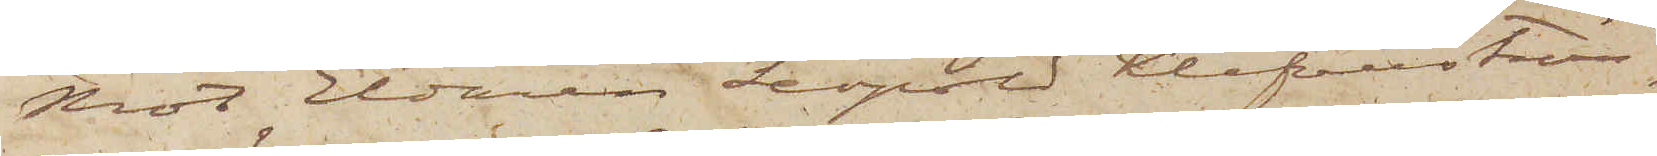Mot Eldaren Leopold Klefenström,
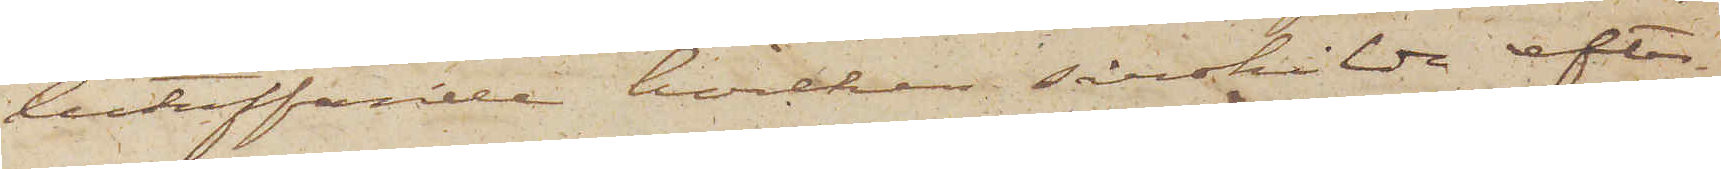beträffande hvilken särskilda efter¬
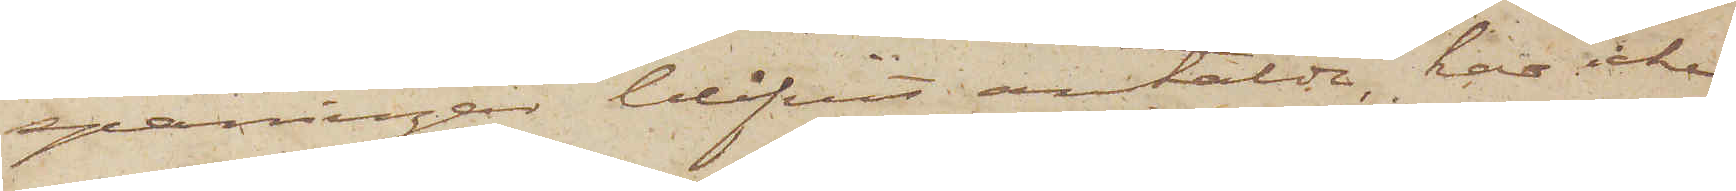spaningar blifvit anstälde, har icke
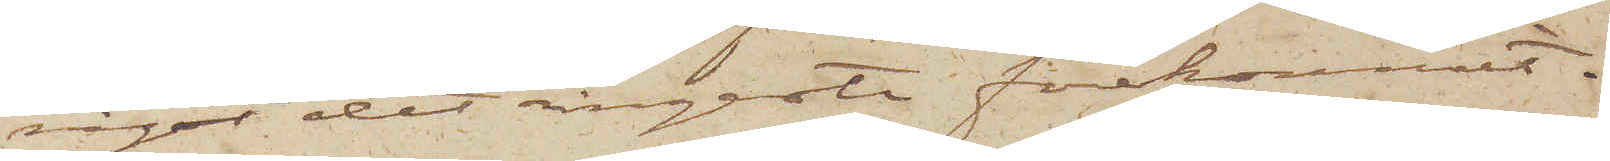något det ringaste förekommit.
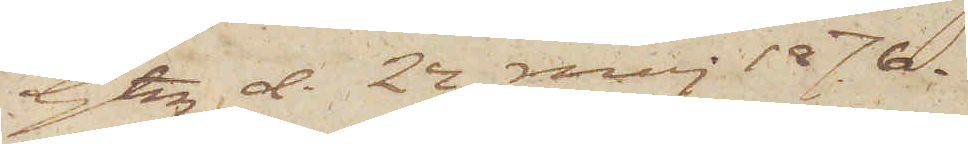Gtbg d. 24 maj 1876.
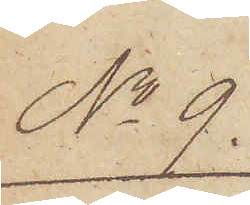No 9.
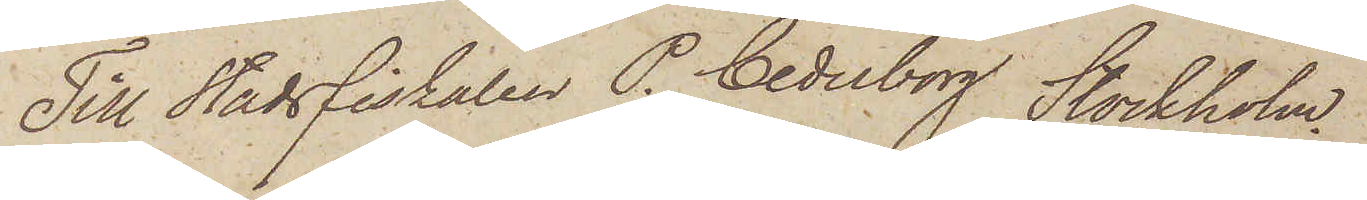Till Stadsfiskalen P. Cederborg Stockholm.
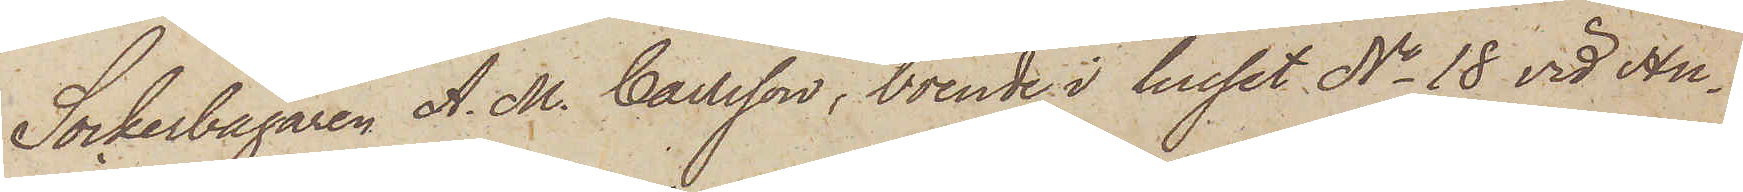Sockerbagaren A. M. Carlsson, boende i huset No 18 vid Hu¬
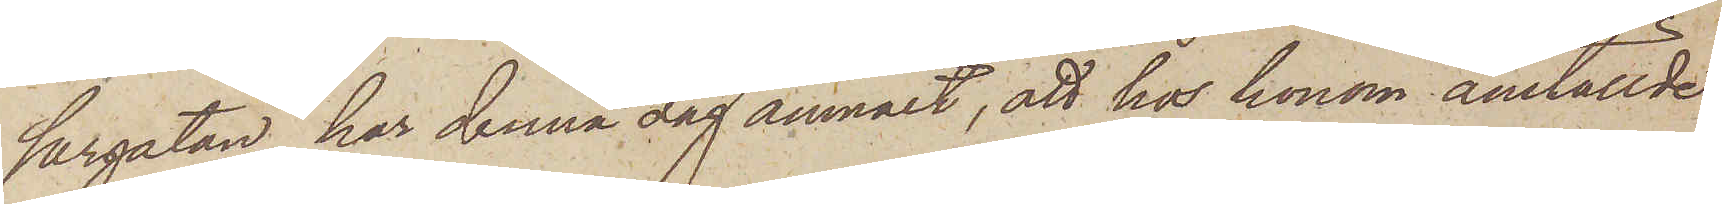sargatan, har denna dag anmält, att hos honom anställde
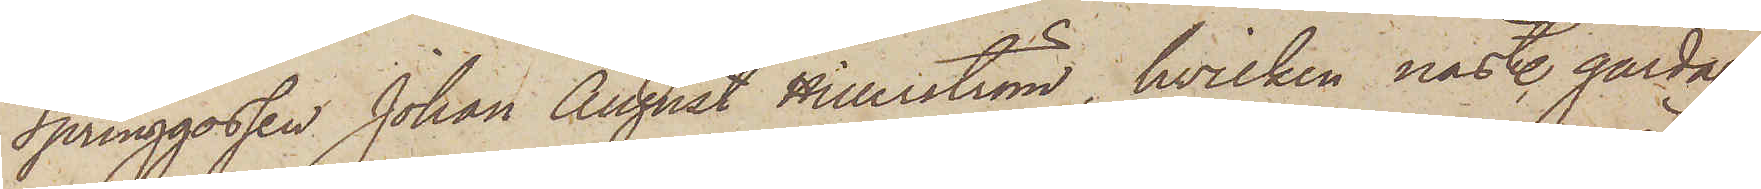Springgossen Johan August Hillerström, hvilken nästl. gårdag
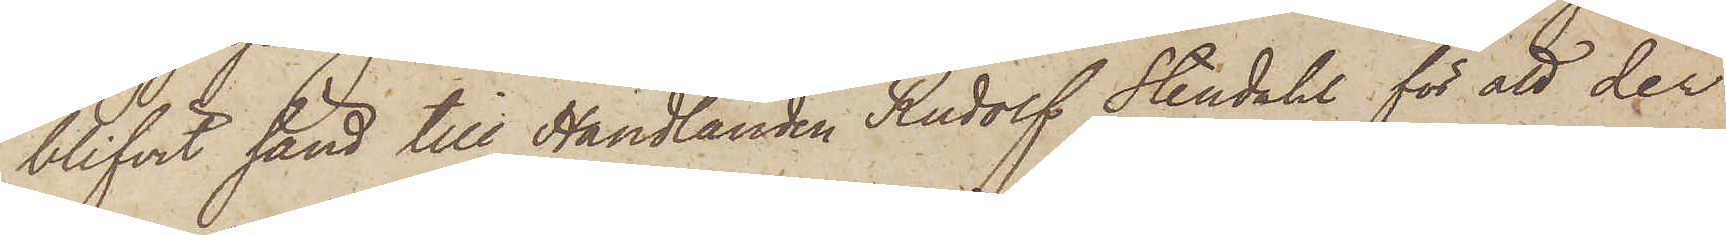blifvit sänd till Handlanden Rudolf Stendahl för att der
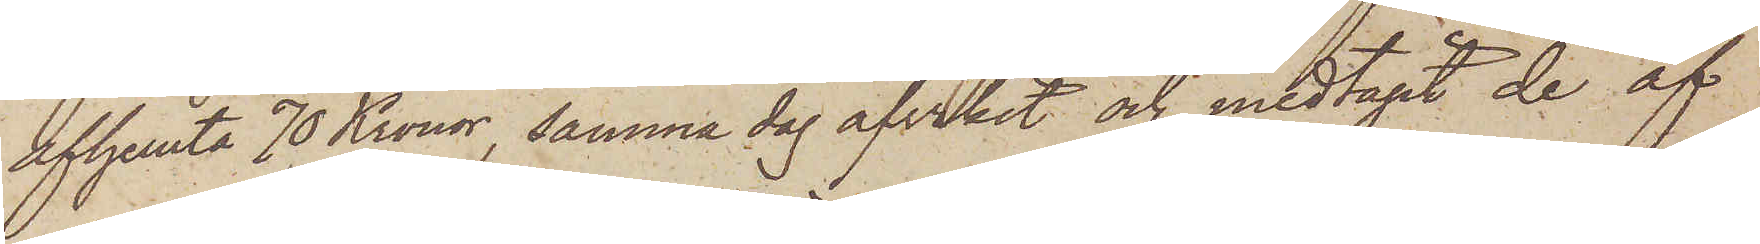afhemta 70 Kronor, samma dag afvikit och medtagit de af
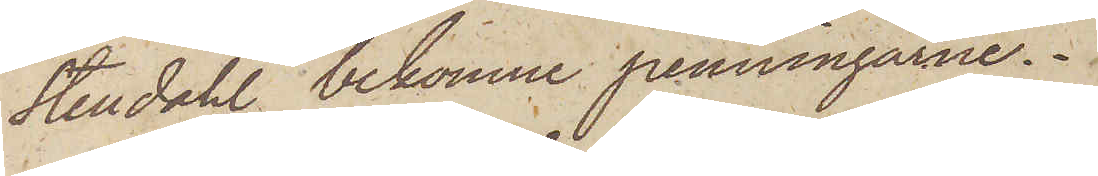Stendahl bekomne penningarne.
